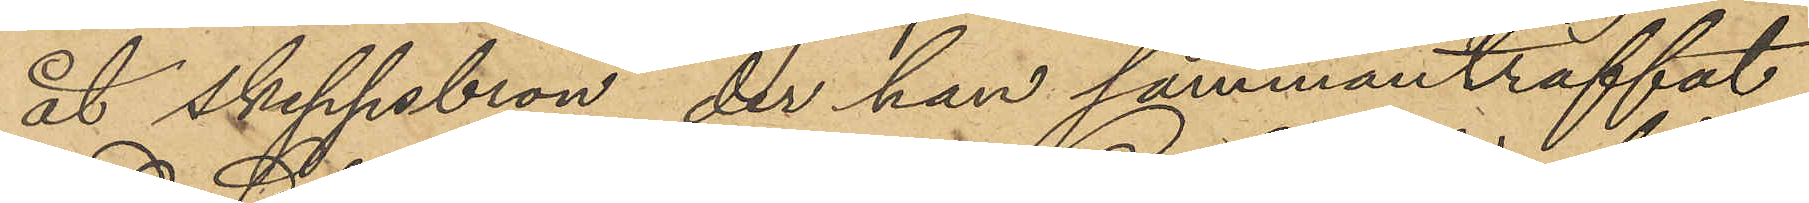åt skeppsbron, der han sammanträffat
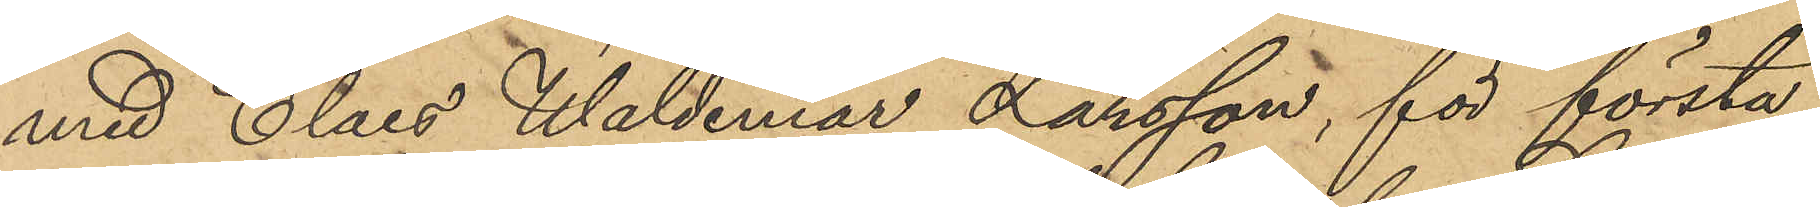med Claes Waldemar Larsson, för första
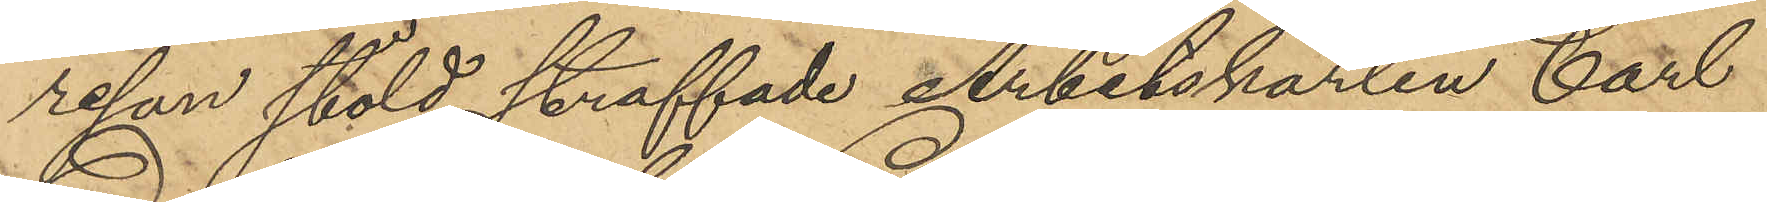resan stöld straffade Arbetskarlen Carl
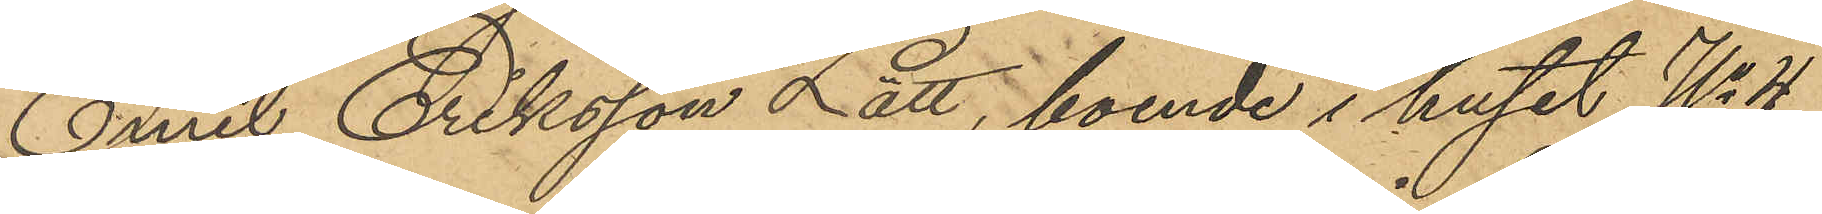Emil Eriksson Lätt, boende i huset No 4
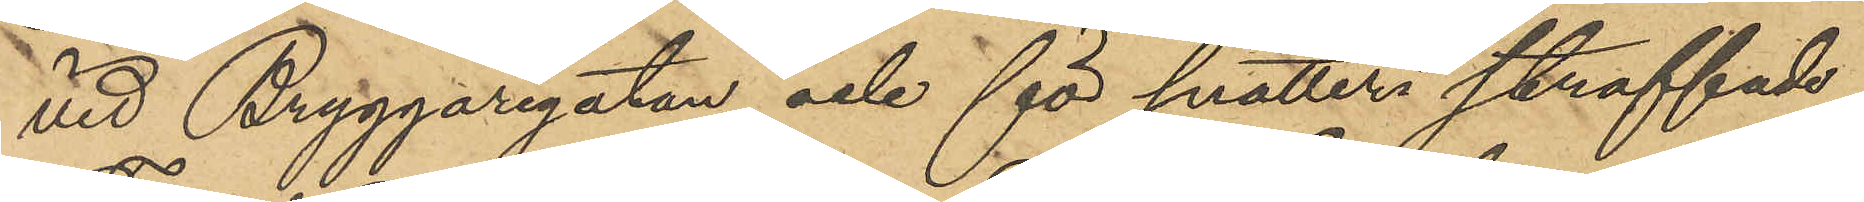vid Bryggaregatan och för snatteri straffade
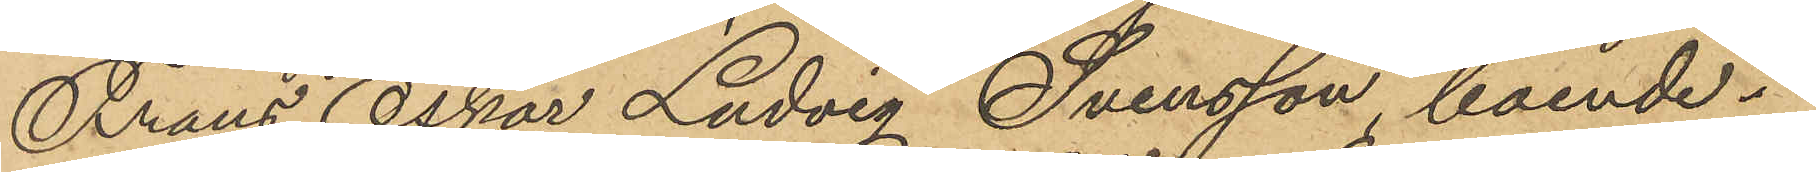Frans Oskar Ludvig Svensson, boende i
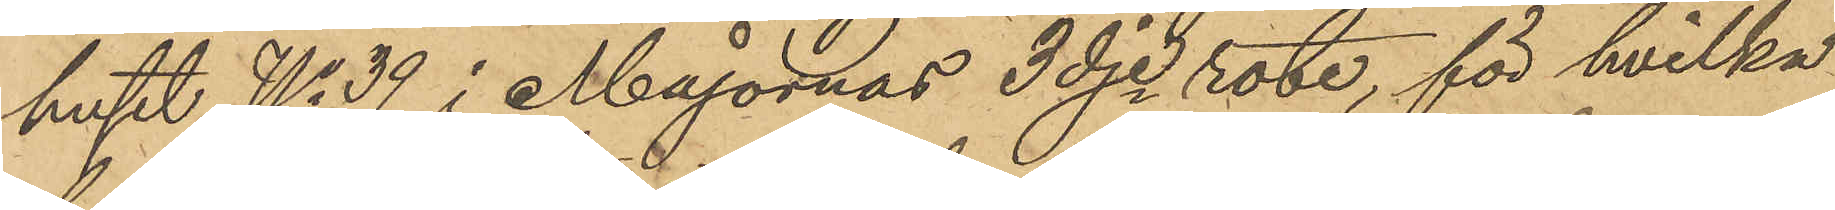huset No 39 i Majornas 3dje rote, för hvilka
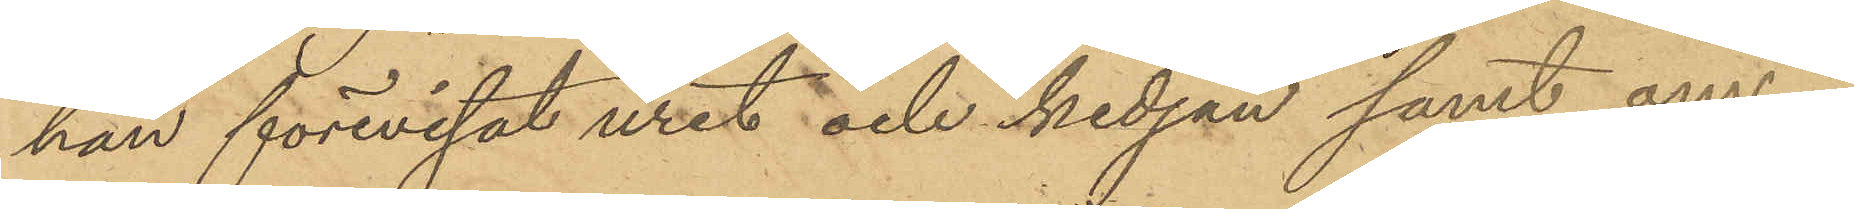han förevisat uret och kedjan samt om¬
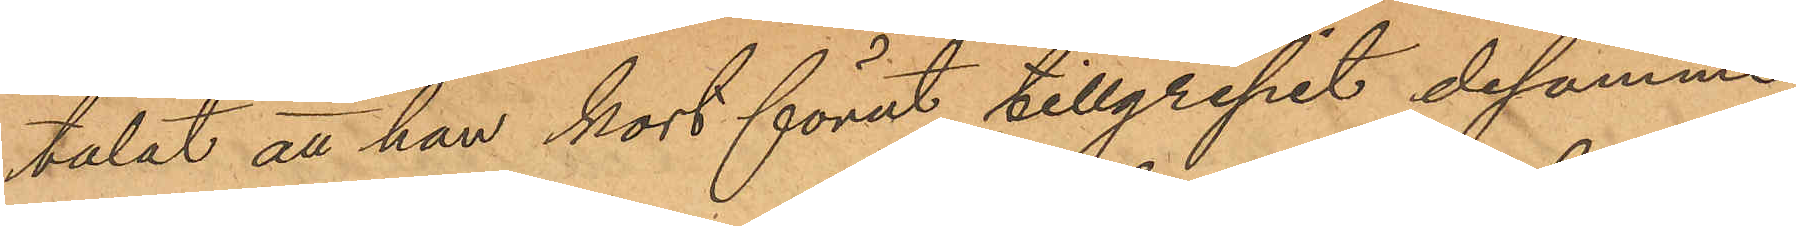talat att han kort förut tillgripit desamme
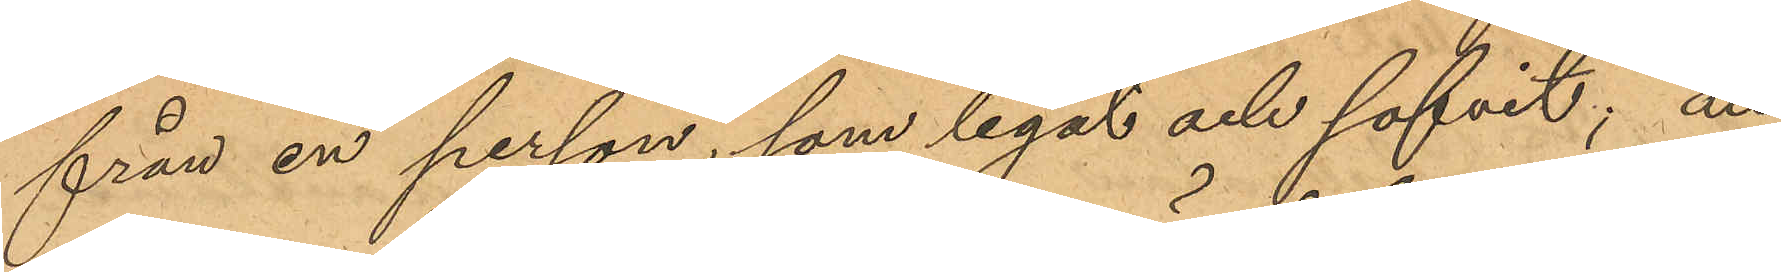från en person, som legat och sofvit; att
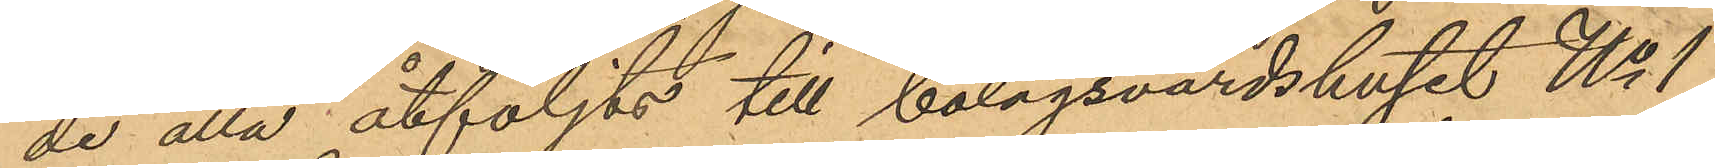de alla åtföljts till bolagsvärdshuset No 1
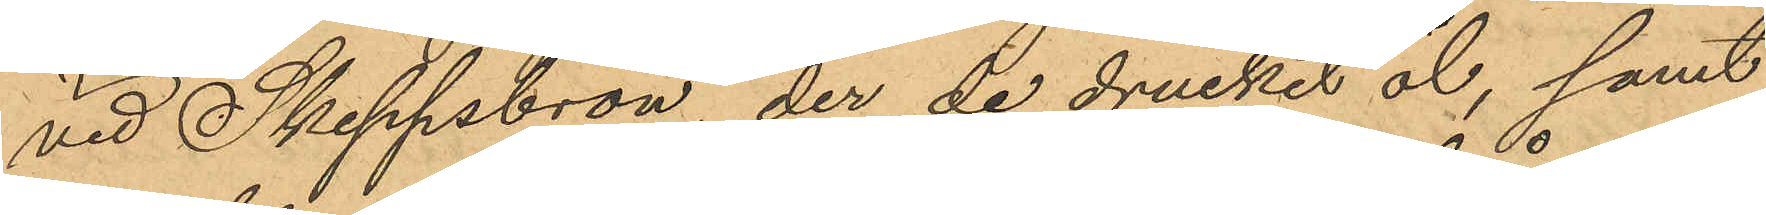vid Skeppsbron, der de druckit öl, samt
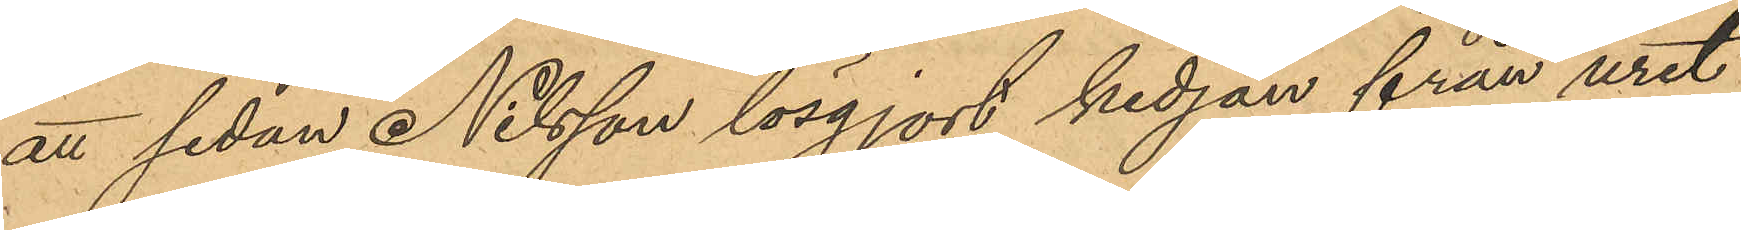att sedan Nilsson lösgjort kedjan från uret
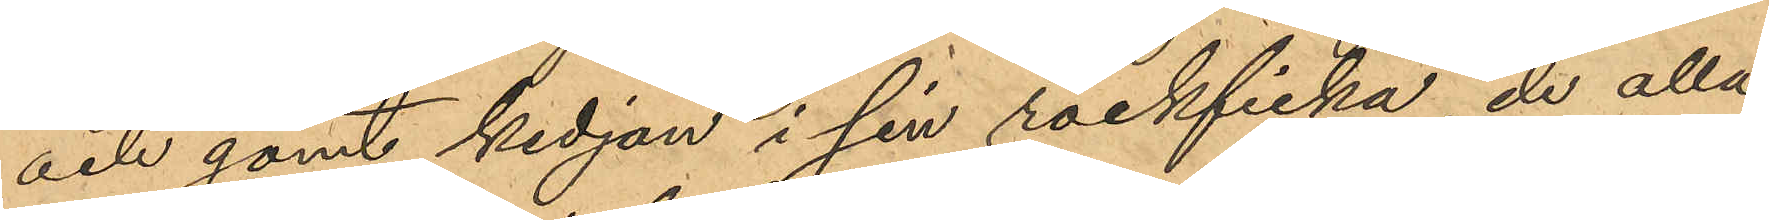och gömt kedjan i sin rockficka, de alla
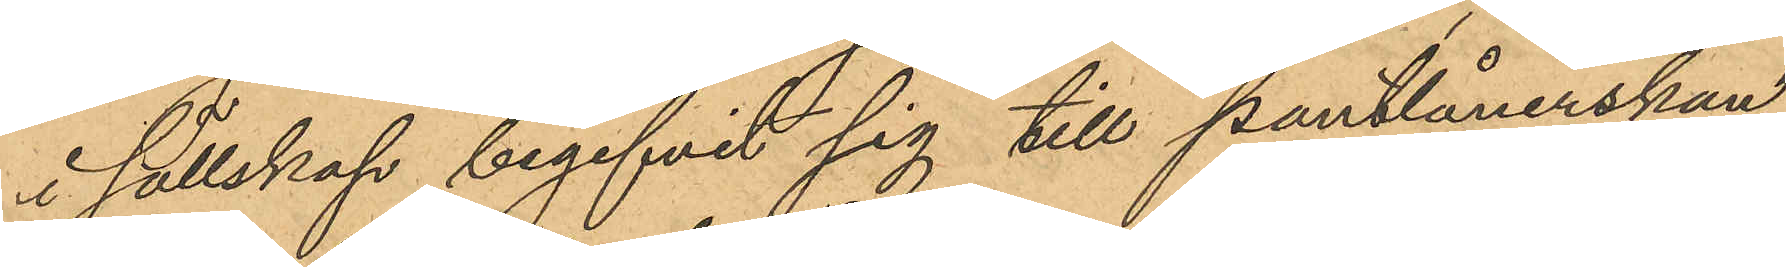i sällskap begifvit sig till pantlånerskan
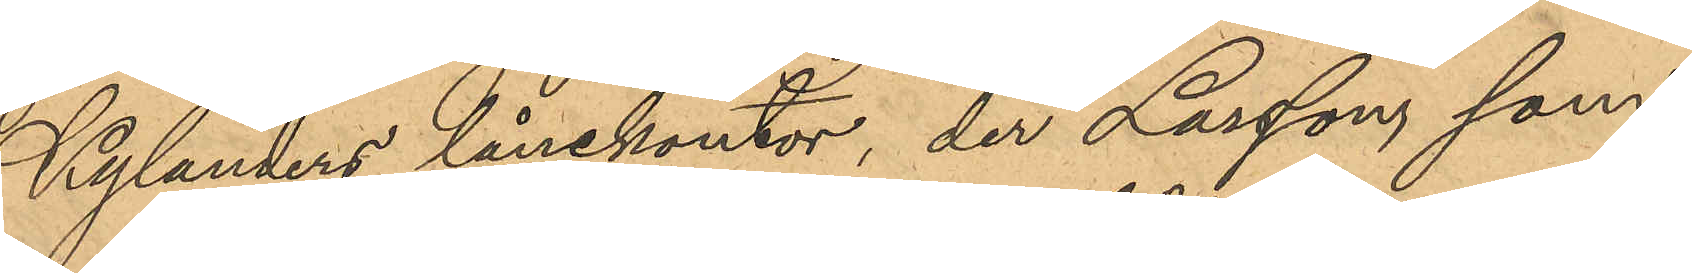Kylanders lånekontor, der Larsson som,
